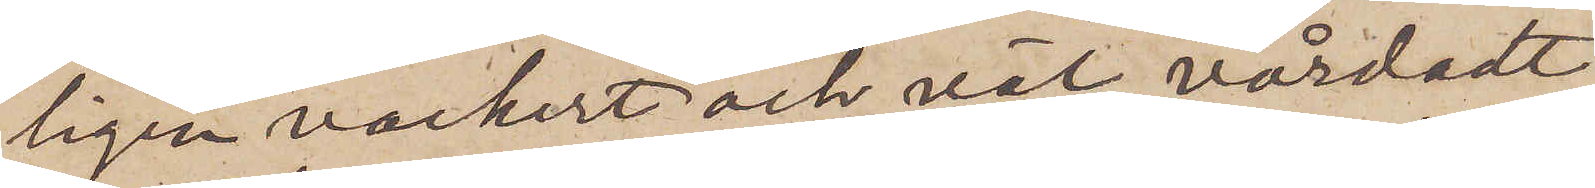ligen vackert och väl vårdadt
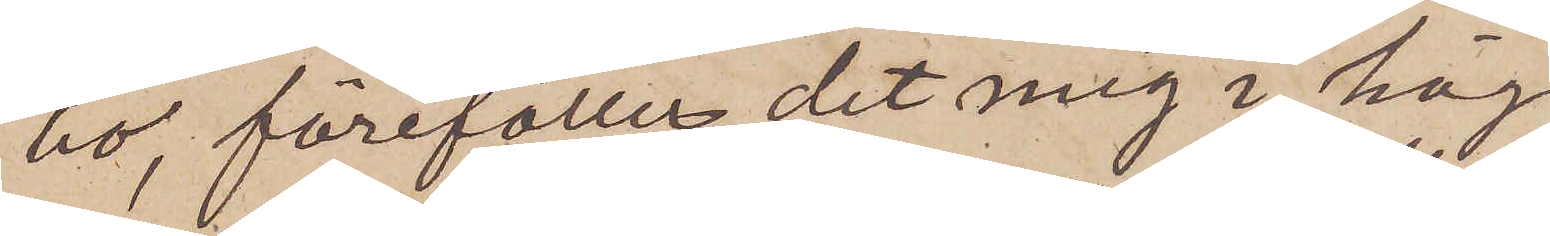bo, förefaller det mig i hög
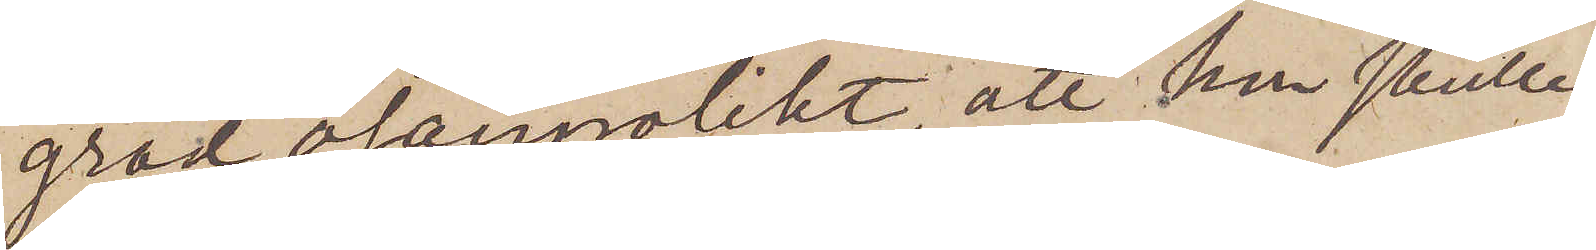grad osannolikt, att hon skulle
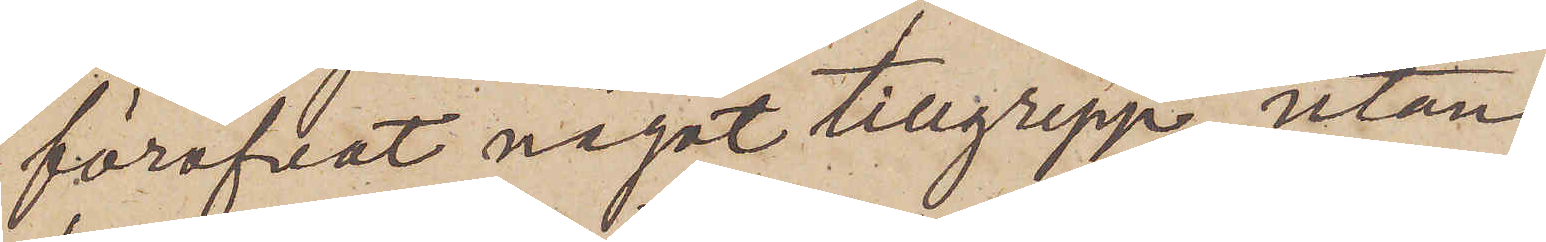föröfvat något tillgrepp, utan
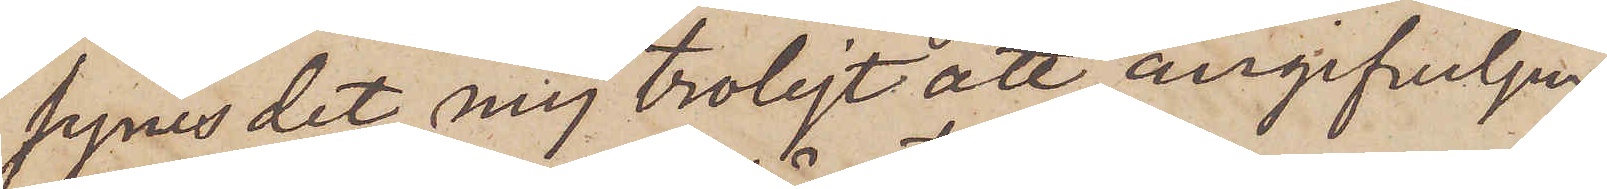synes det mig troligt att angifvelsen
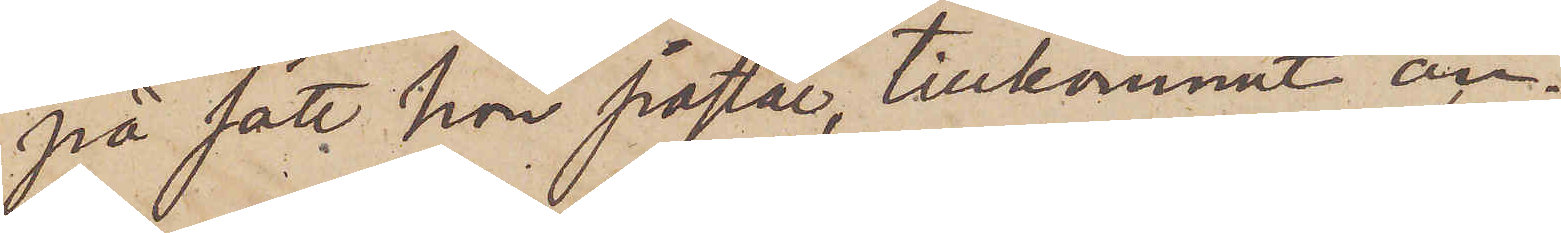på sätt hon påstår, tillkommit an¬
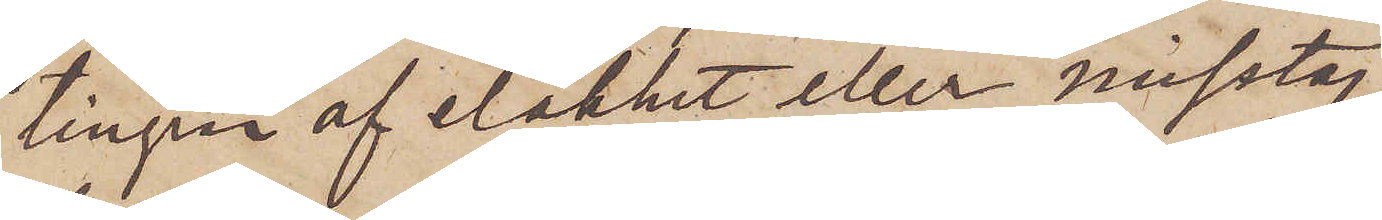tingen af elakhet eller misstag,
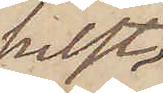helst
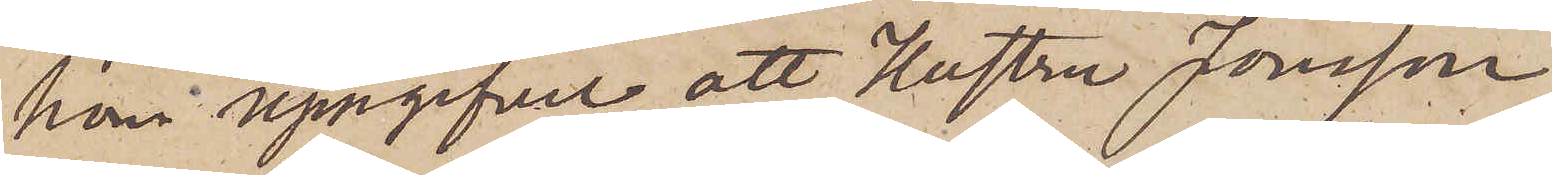hon uppgifvit, att Hustru Jonsson
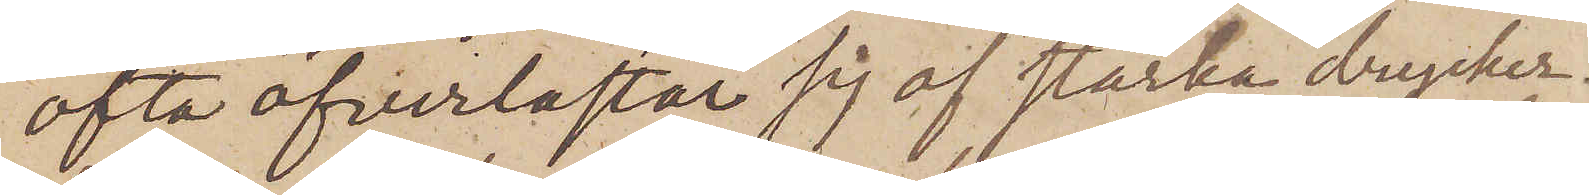ofta öfverlastat sig af starka drycker.
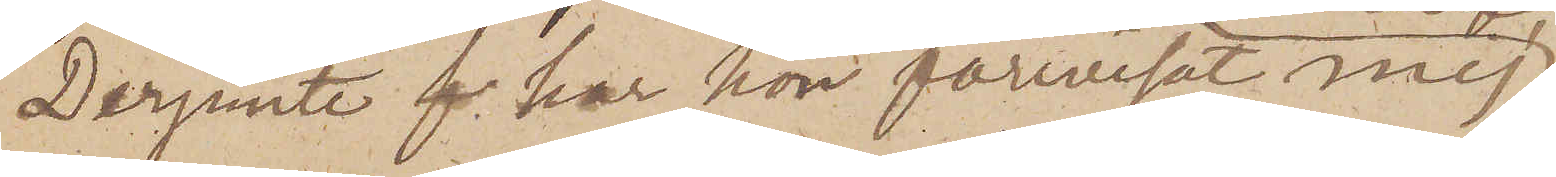Derjemte  har hon förevisat mig
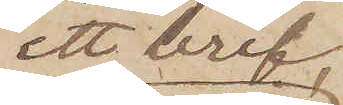ett bref
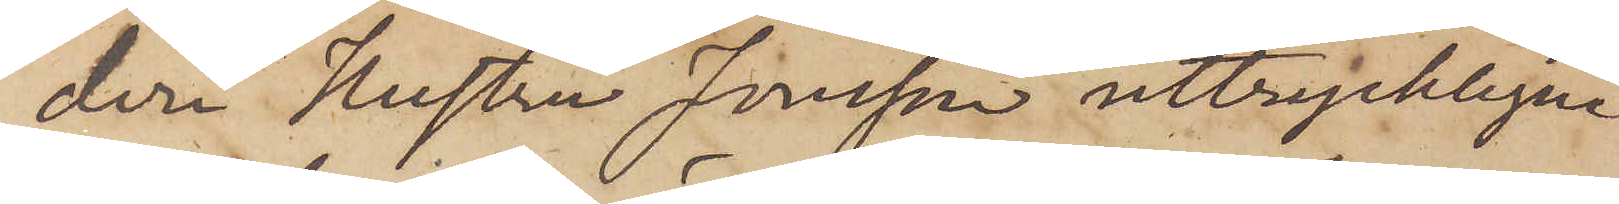deri Hustru Jonsson uttryckligen
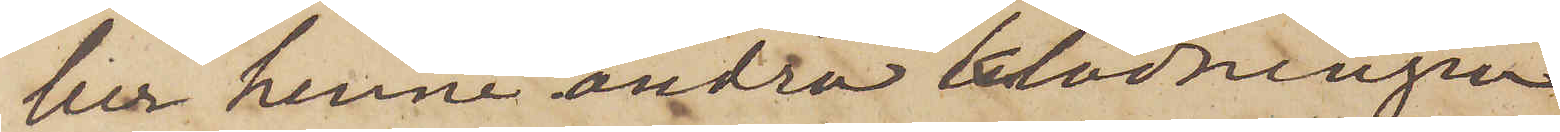ber henne ändra klädningen
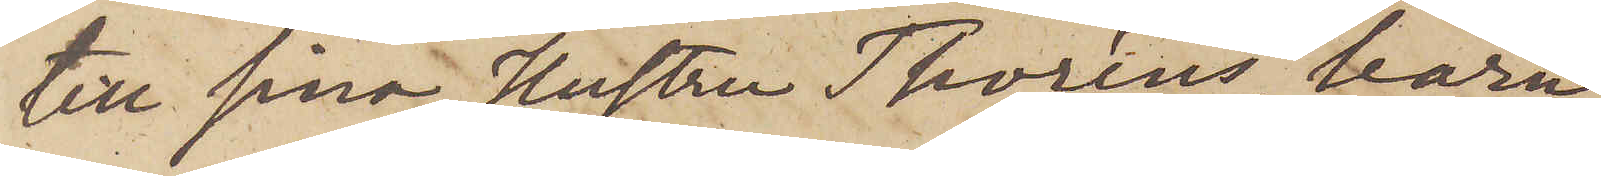till sina, Hustru Thoréns, barn,
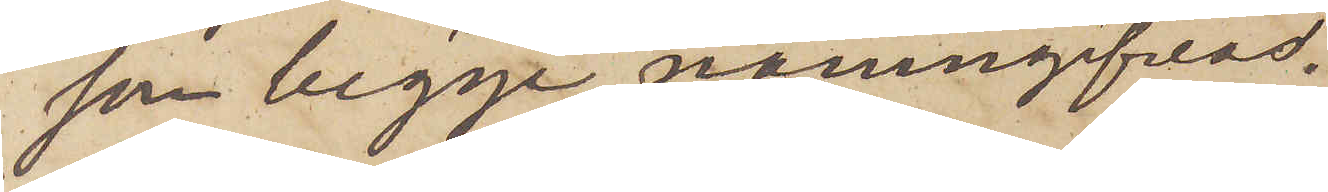som begge namngifvas.
